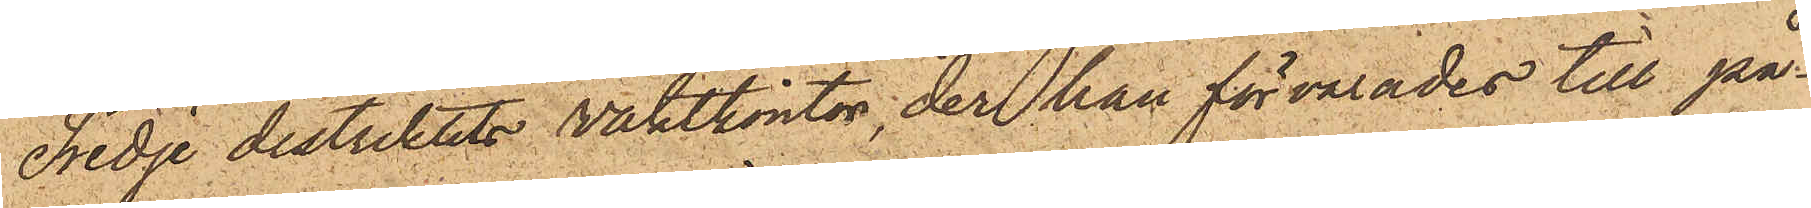Tredje distriktets vaktkontor, der han förvarades till på¬
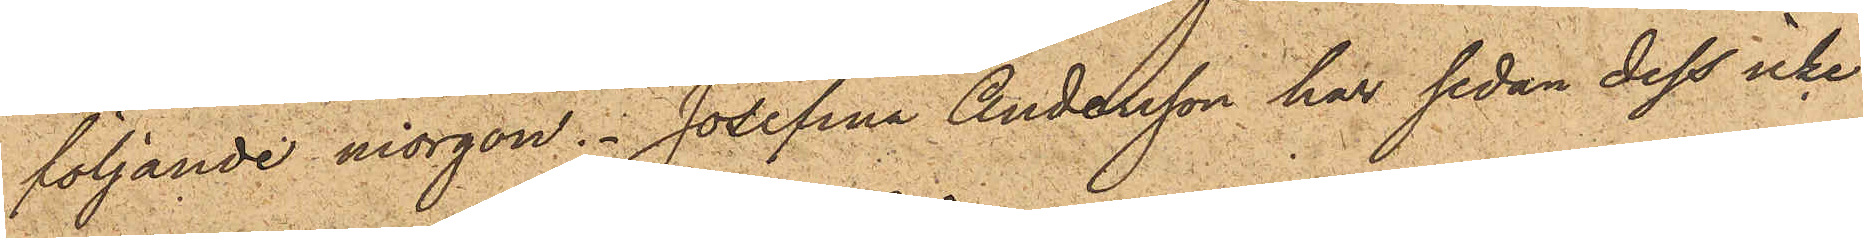följande morgon. Josefina Andersson har sedan dess icke
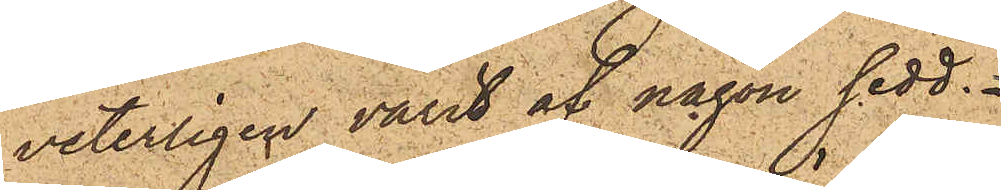veterligen varit af någon sedt.
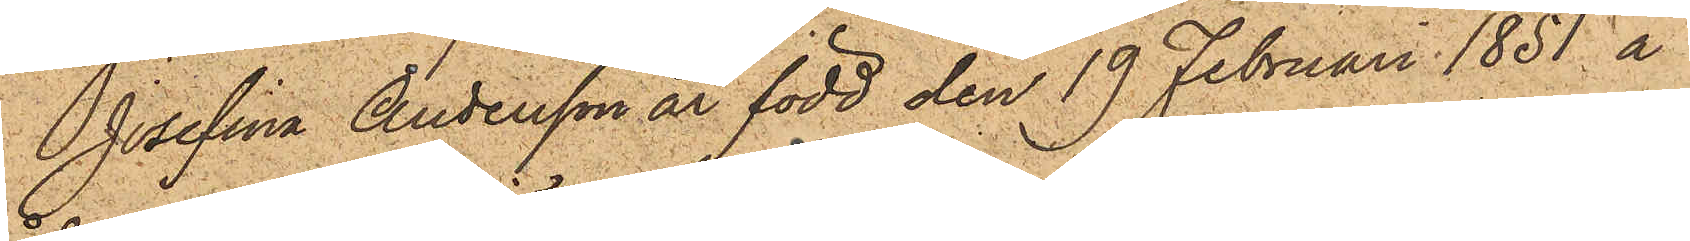Josefina Andersson är född den 19 Februari 1851 å
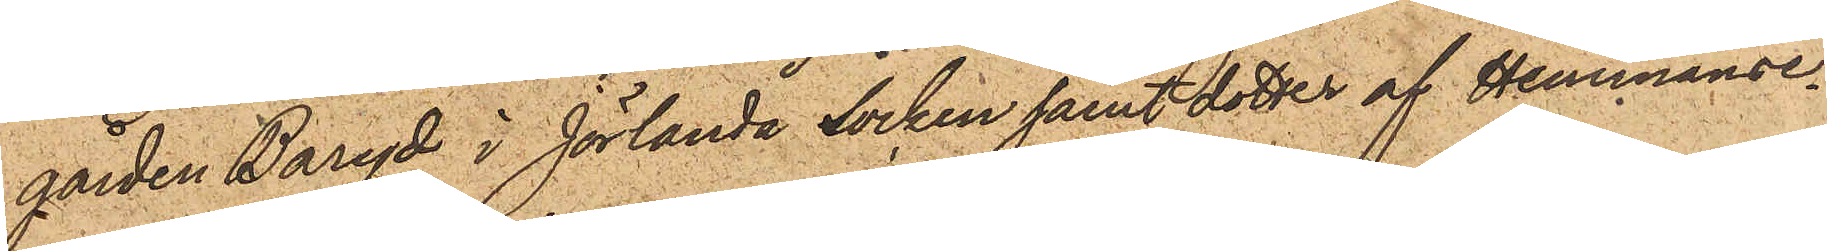gården Baryd i Jörlanda socken samt dotter af Hemmanse¬
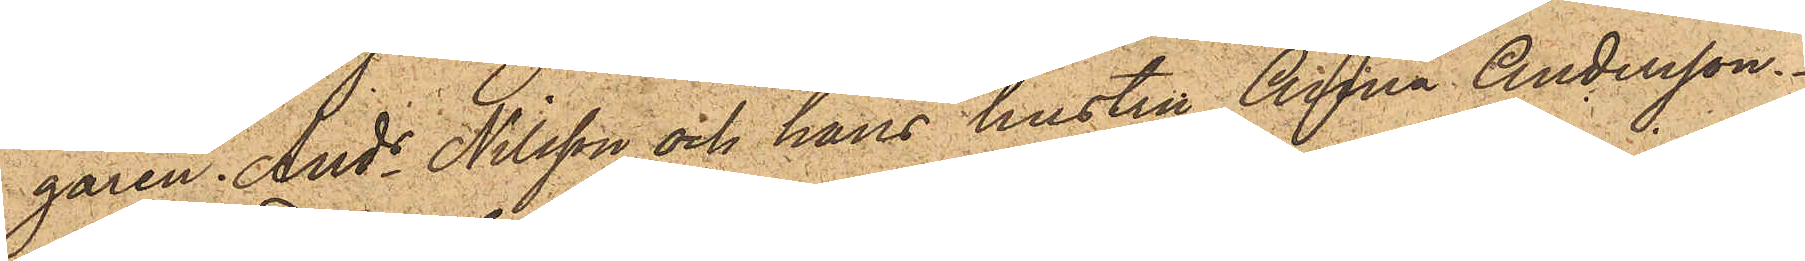garen Ands Nilsson och hans hustru Anna Andersson.
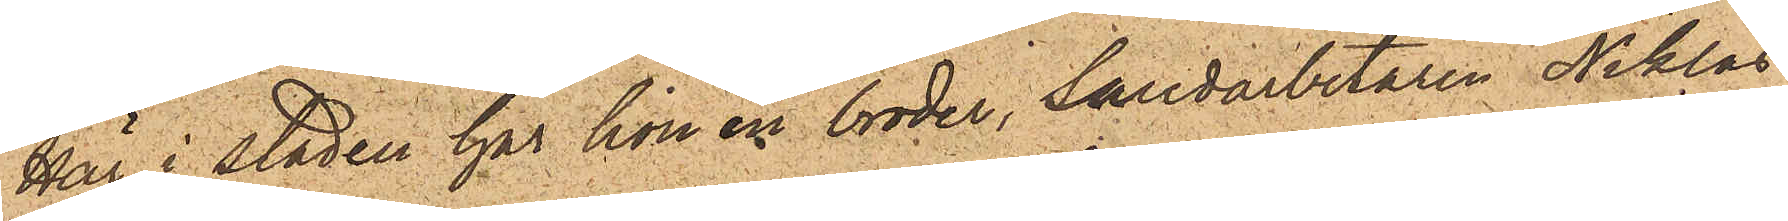Här i staden har hon en broder, Sandarbetaren Niklas
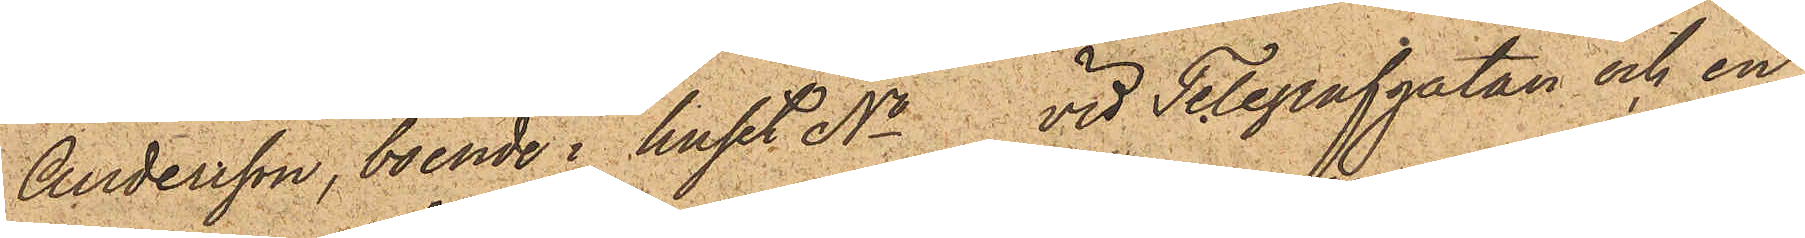Andersson, boende i huset No vid Telegrafgatan och en
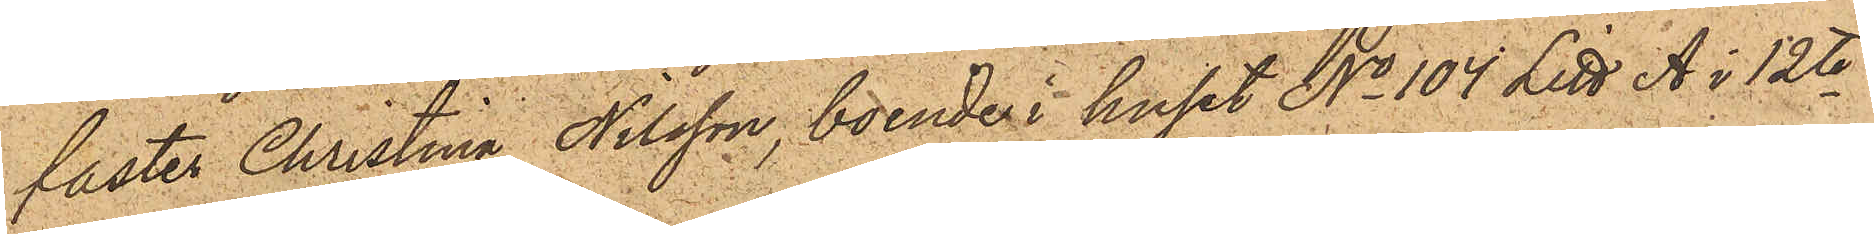faster Christina Nilsson, boende i huset No 104 Litt. A i 12te
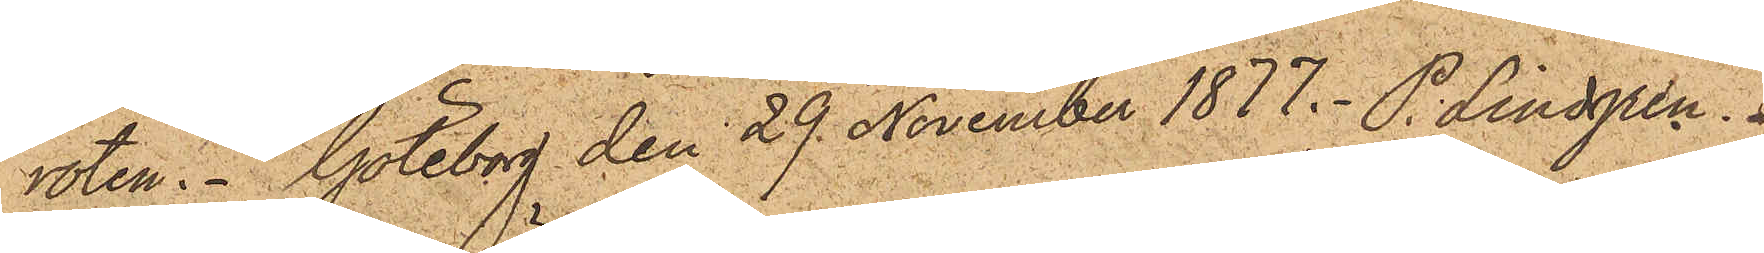roten. Göteborg den 29 November 1877. P. Lindgren.
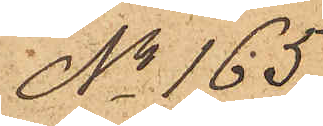No 165.
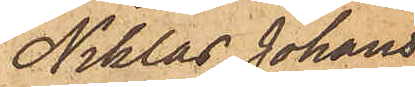Niklas Johans¬
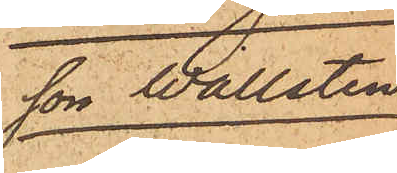son Wallsten
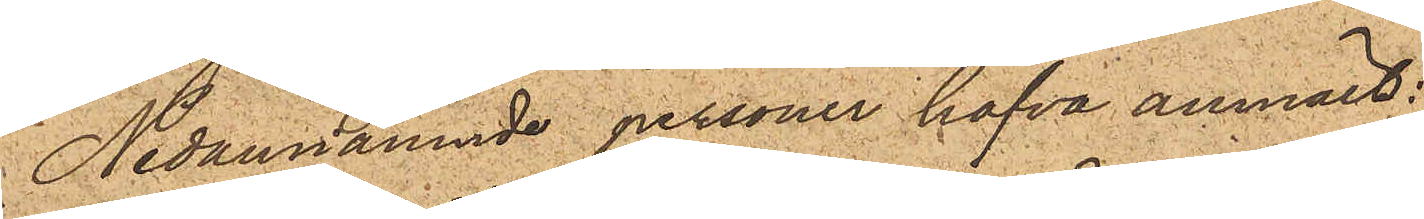Nedannämnde personer hafva anmält:
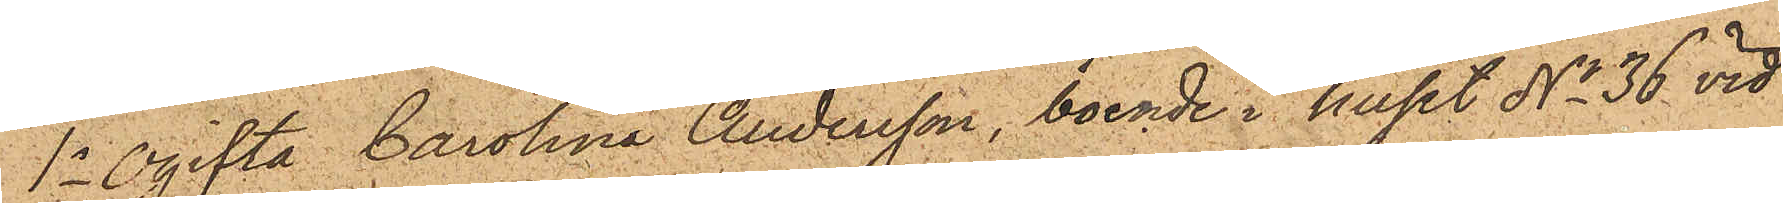1o Ogifta Carolina Andersson, boende i huset No 36 vid
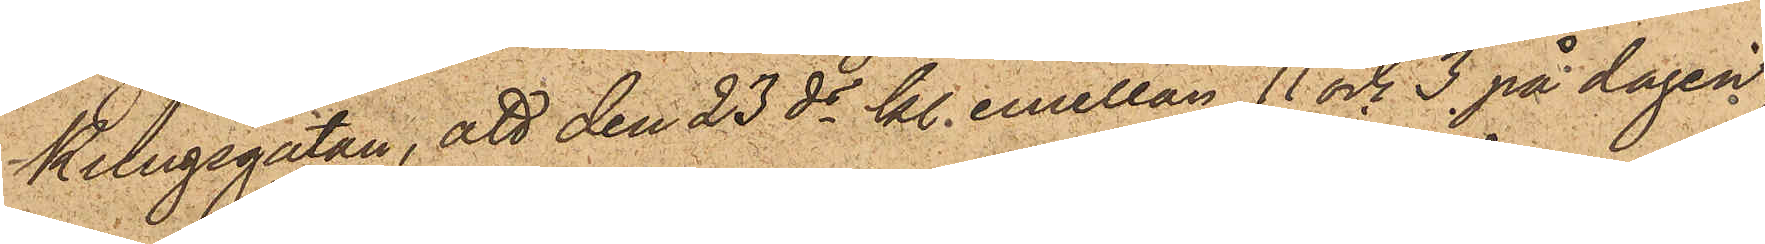Kungsgatan, att den 23 ds kl. emellan 11 och 3 på dagen
